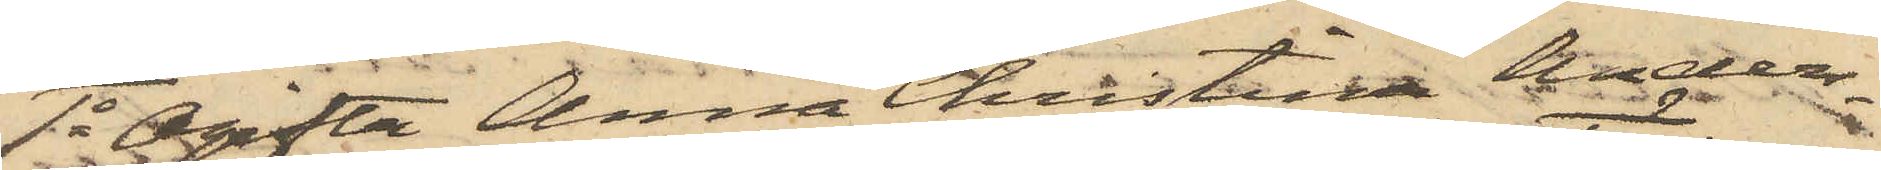1o Ogifta Anna Christina Ander¬
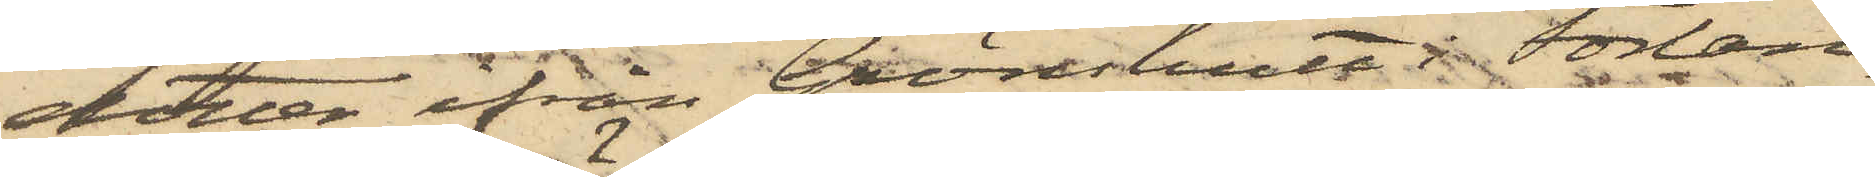dotter ifrån Grönshult i Förlan¬
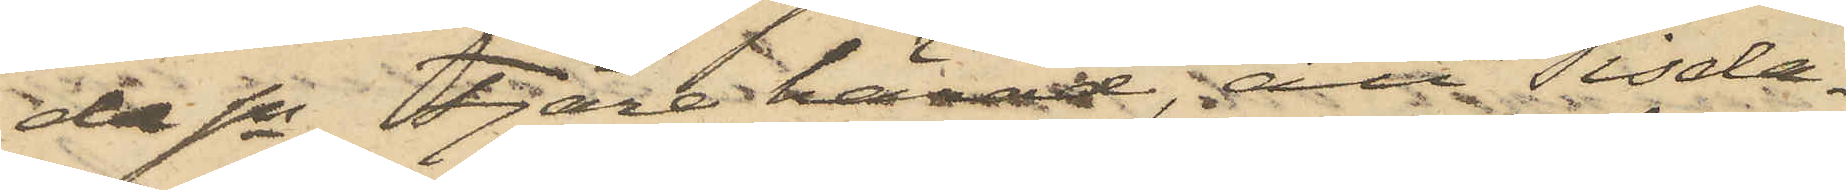da Sn, Fjäre härad; att Tisda¬
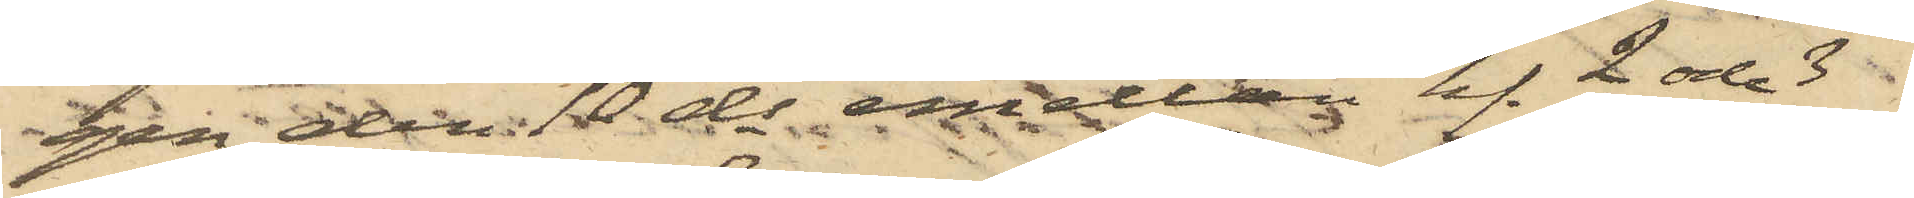gen den 10 ds emellan kl. 2 och 3
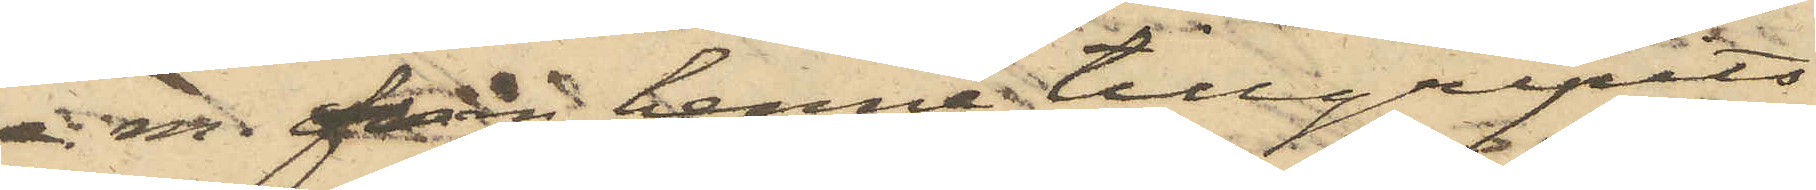e. m.  från henne tillgripits
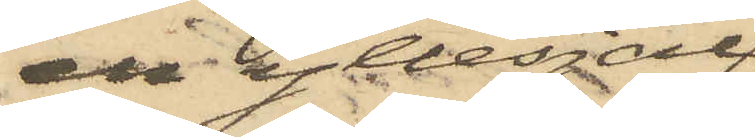en yllesjal
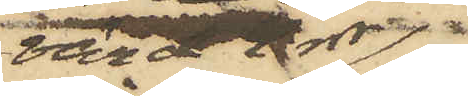värd 2 rdr,
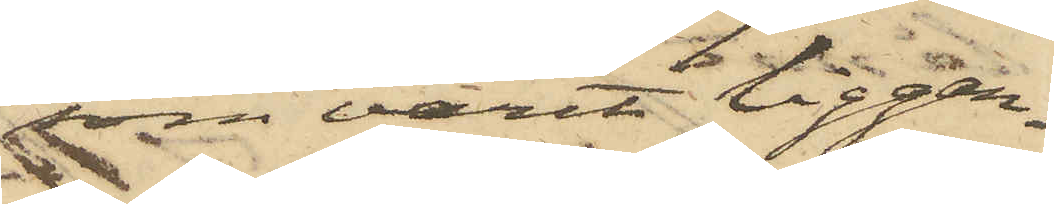som varit liggan¬
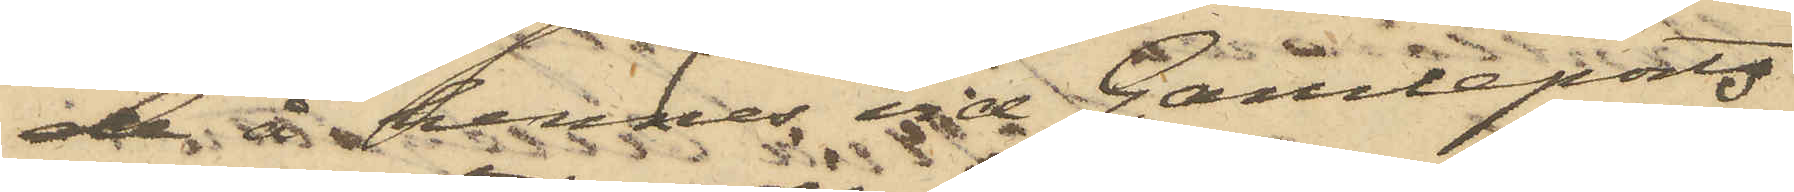de å hennes vid Gamleports
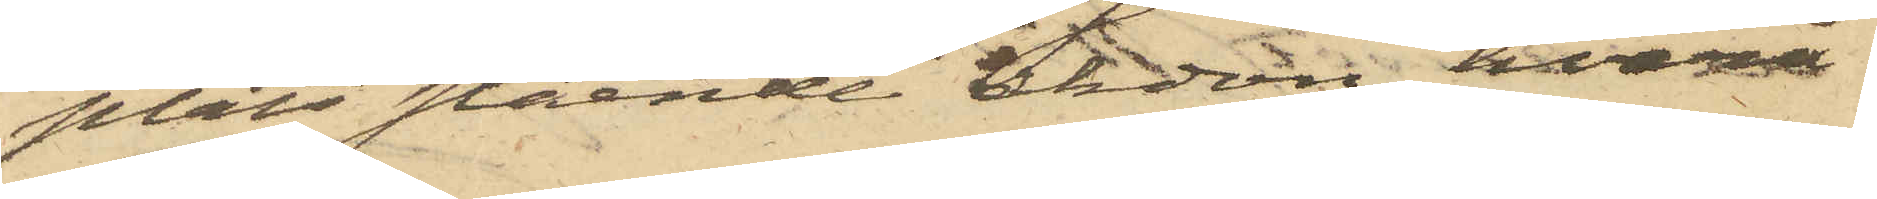plats stående åkdon, hvarå
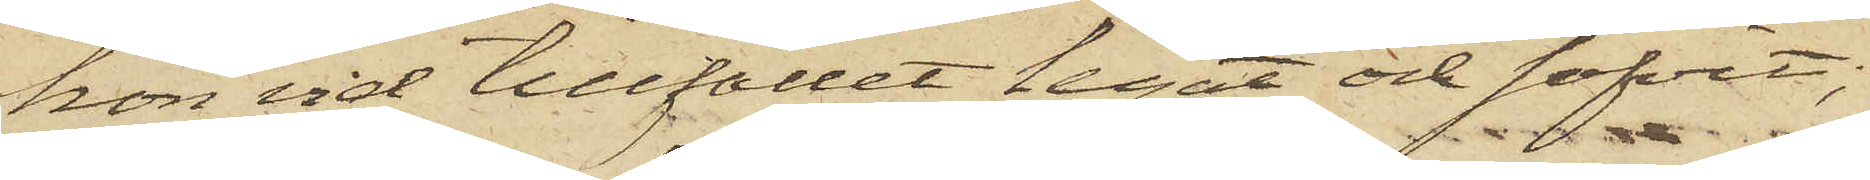hon vid tillfället legat och sofvit;
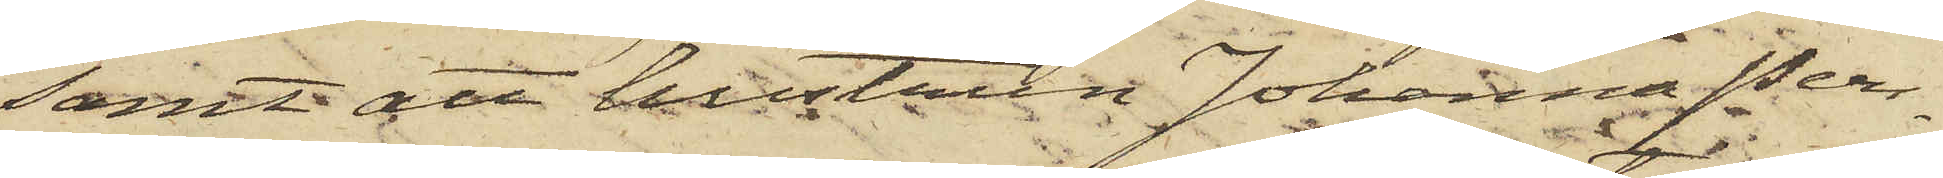samt att hustrun Johanna Pers¬
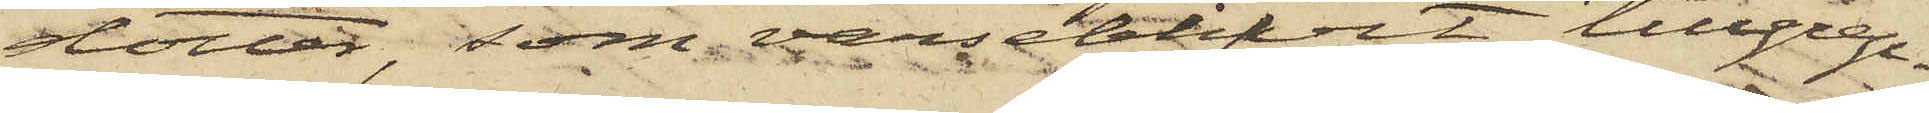dotter, som varseblifvit tillgrep¬
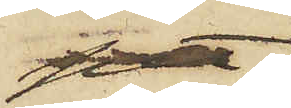pet,
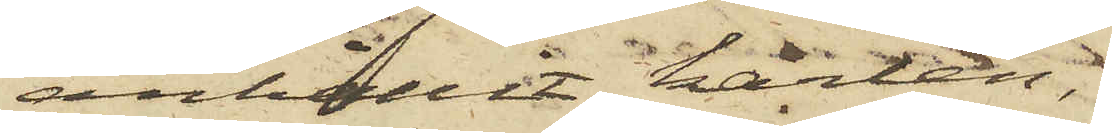anhållit karlen,
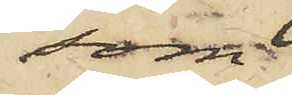som
